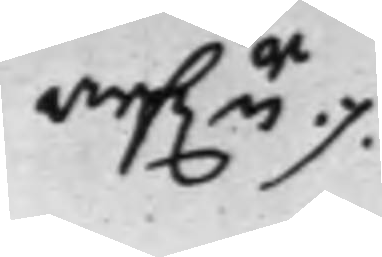arf.r ./.
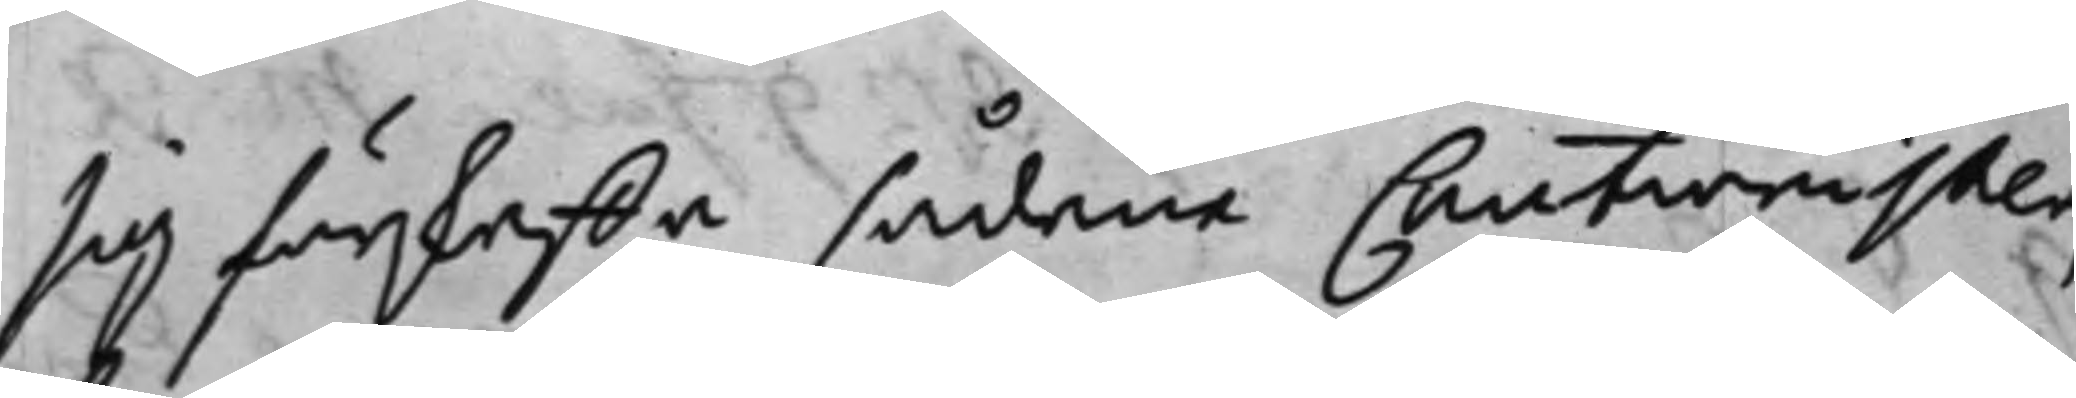sig förskaffa sådane Cautionister,
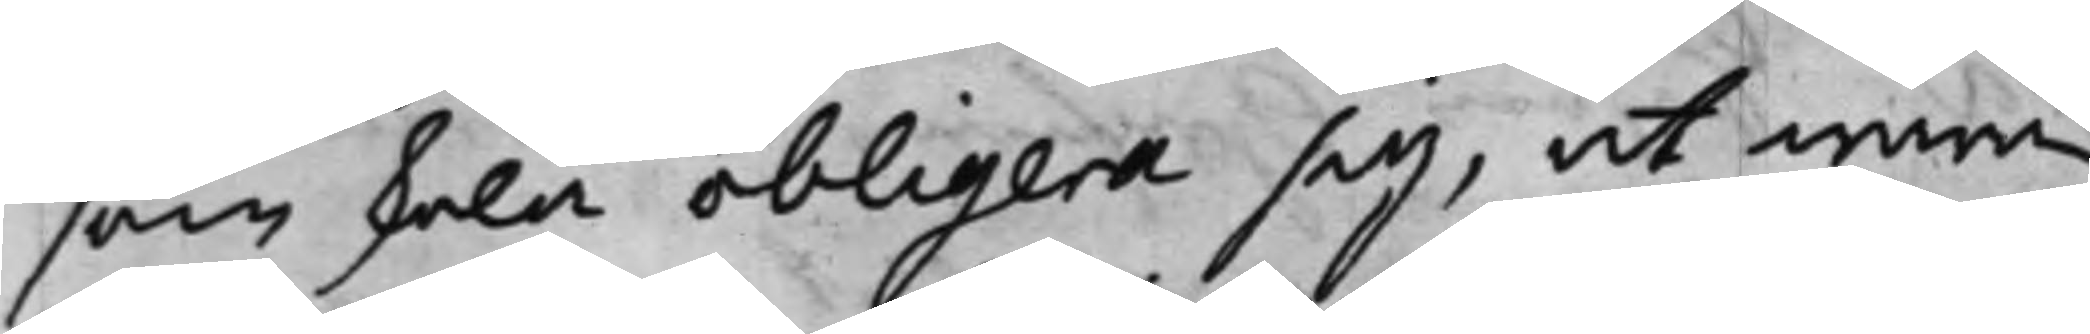som skola obligera sig, at wara
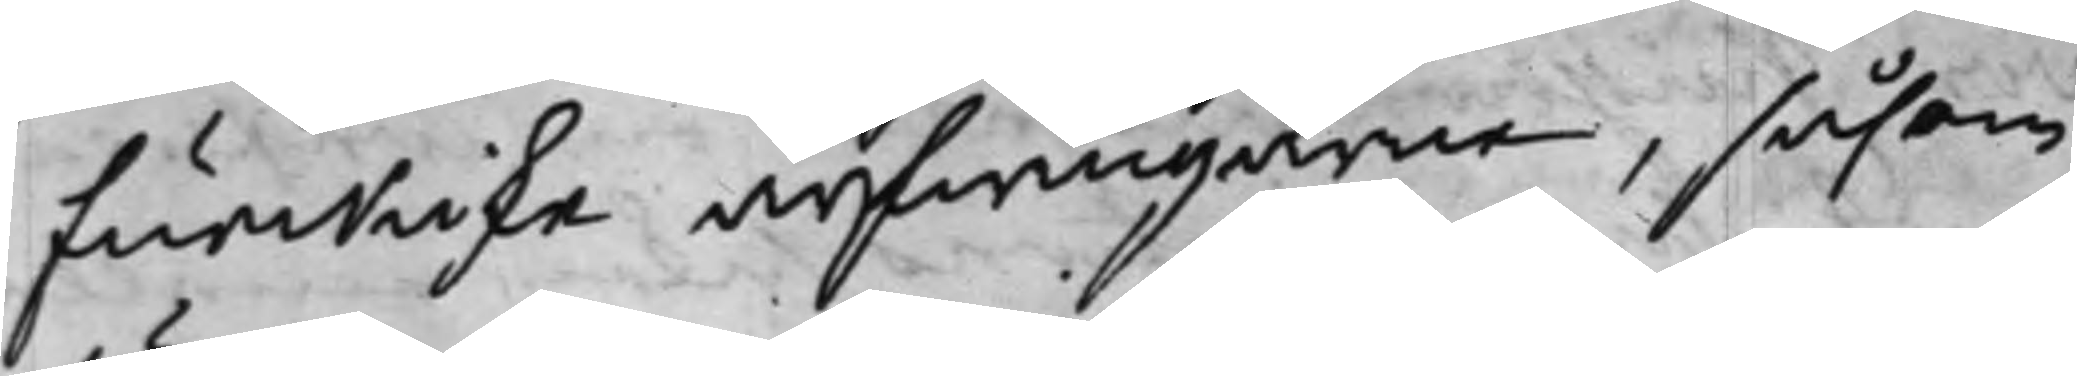Funckiske arfwingarne, såsom
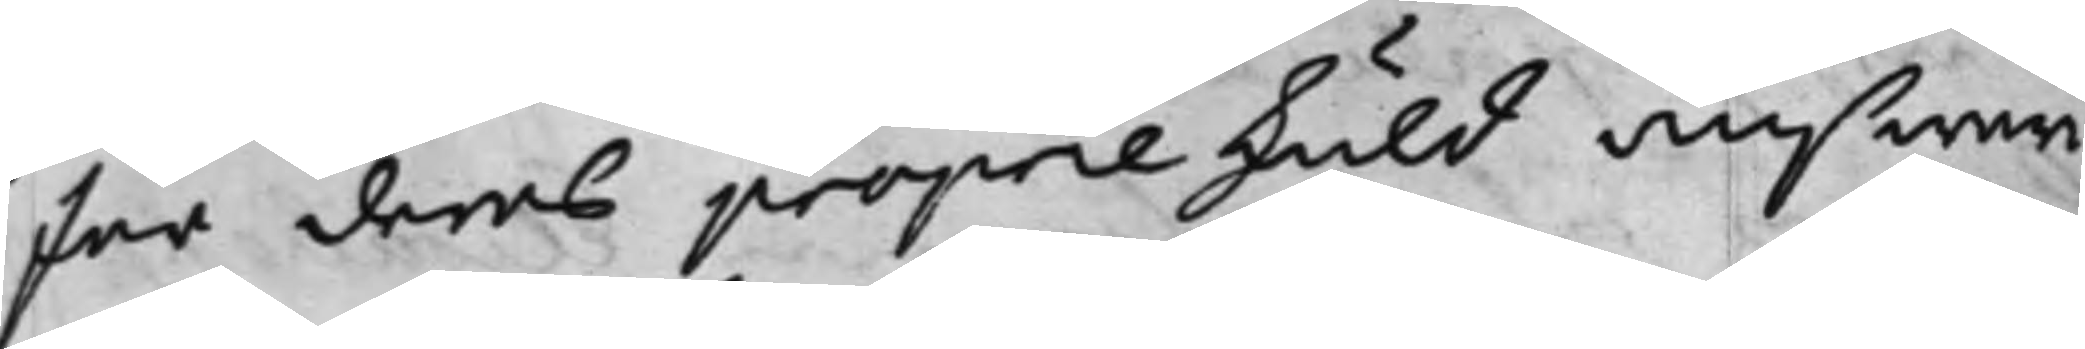för deras proprie skuld answari¬
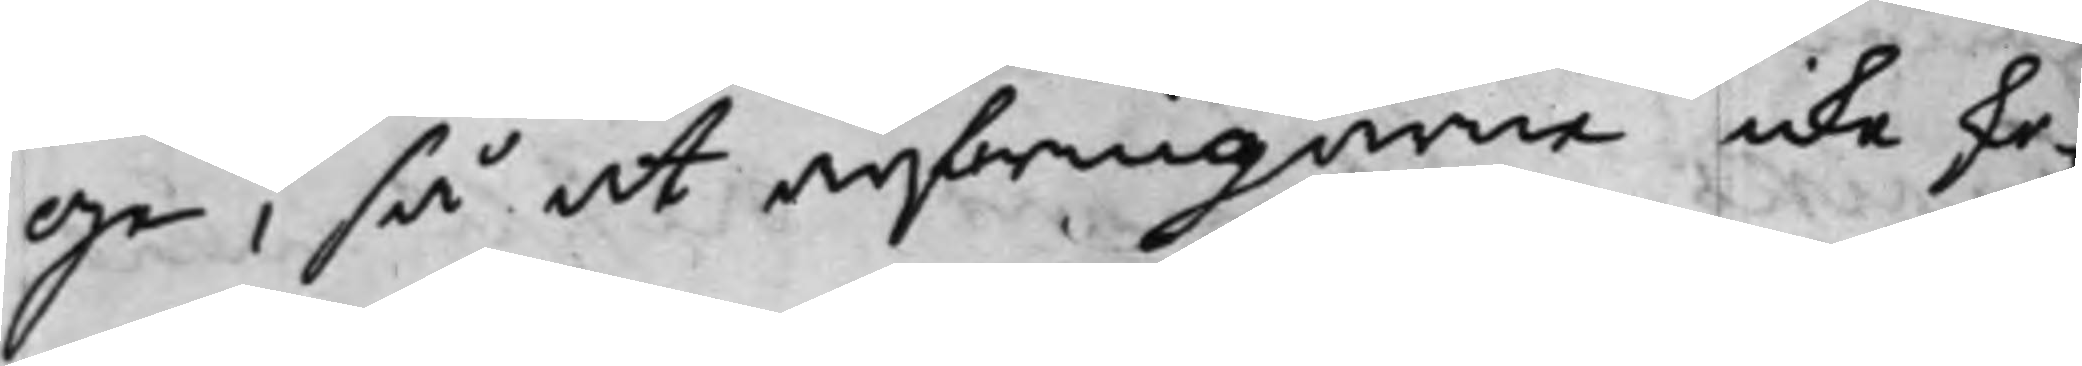ge, så at arfwingarne icke sko¬
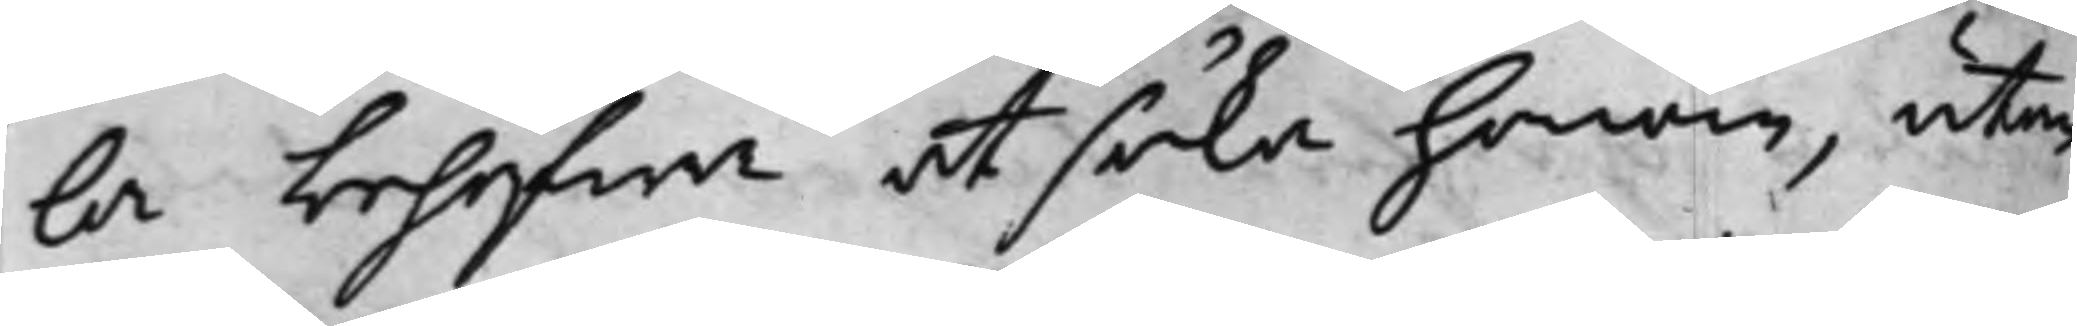la behöfwa at söka honom, utan
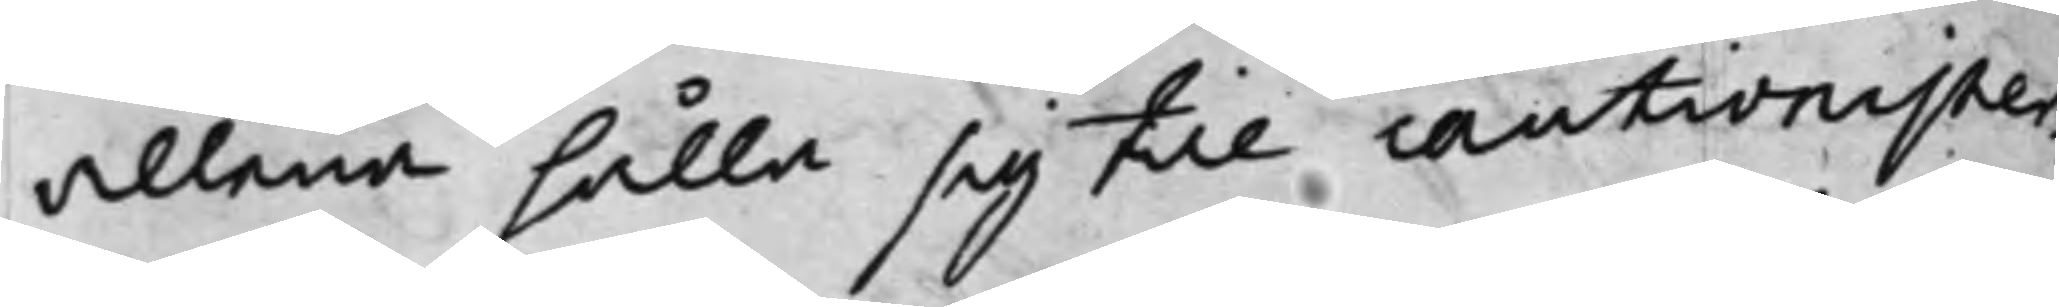allena hålla sig till cautionister¬
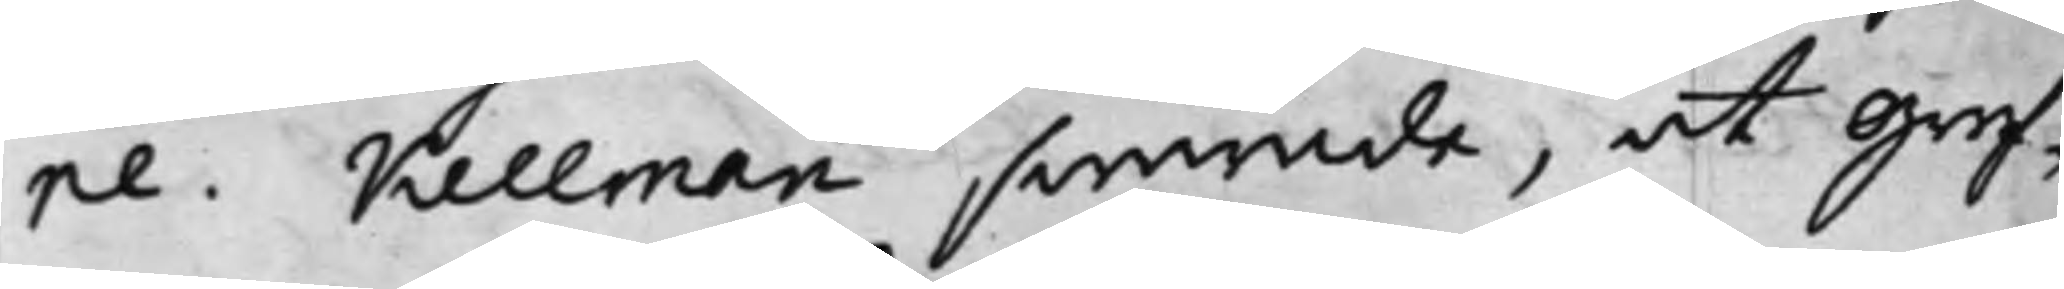ne. Kellman swarade, at Gref¬
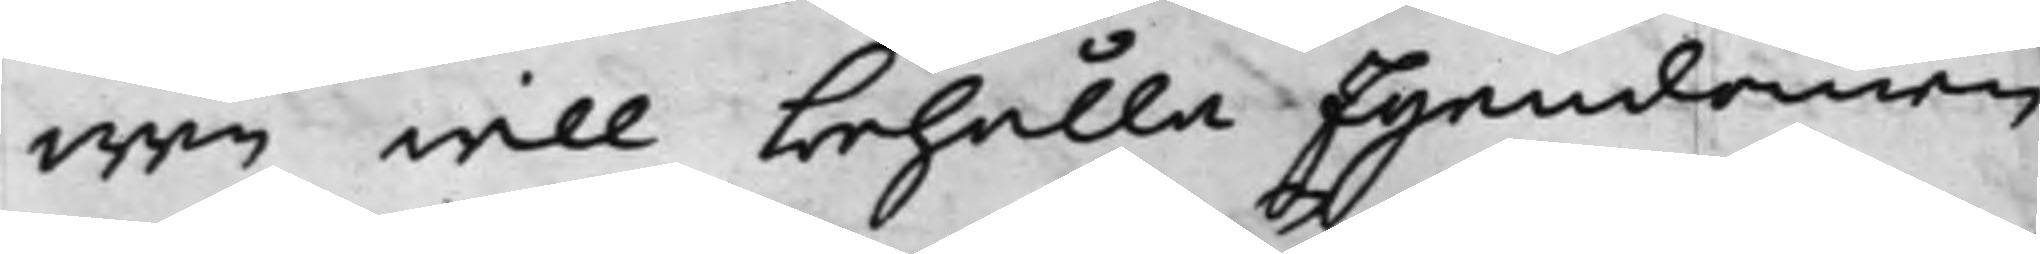wen will behålla Egendomen
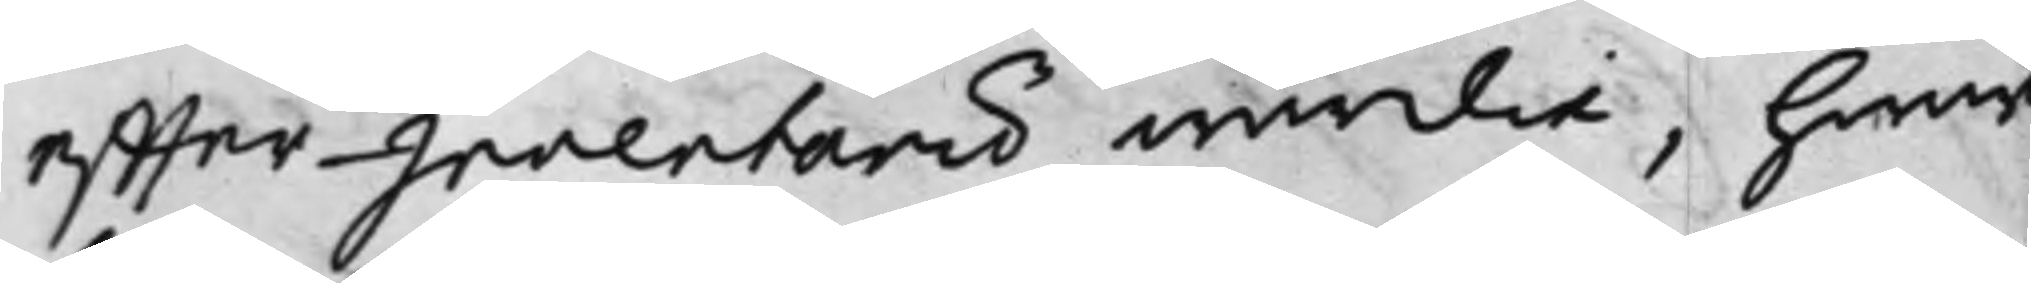effter Inventarii wärdie, hwar¬
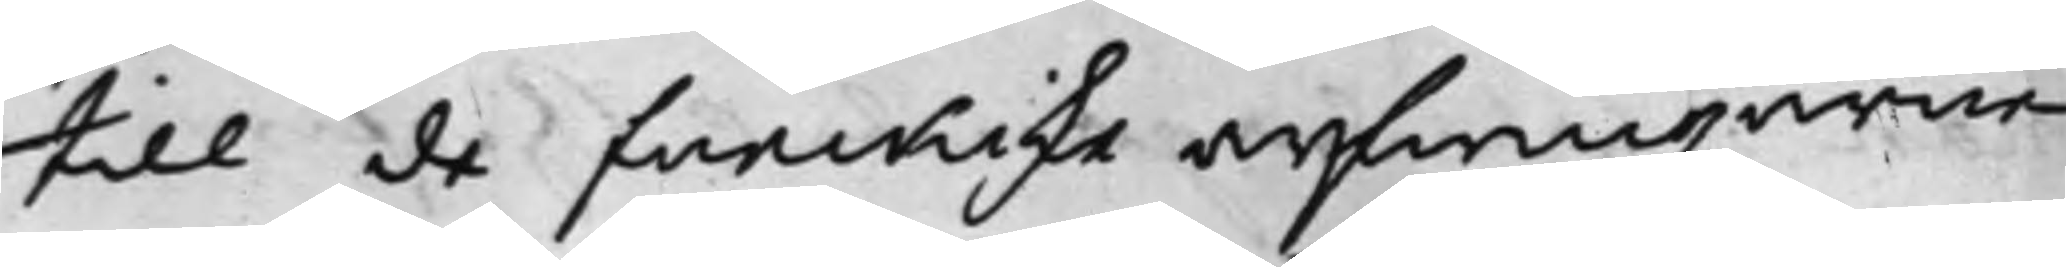till de funckiske arfwingarne
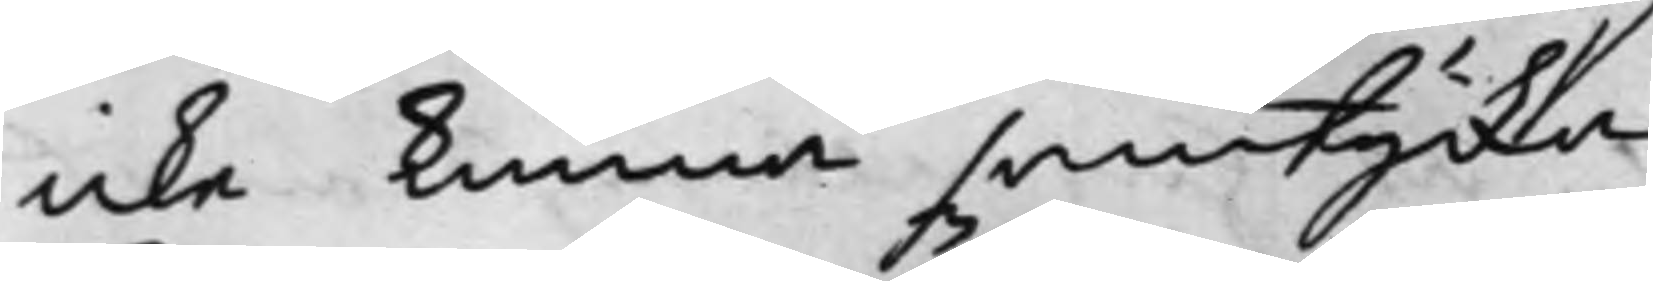icke kunna samtycka.
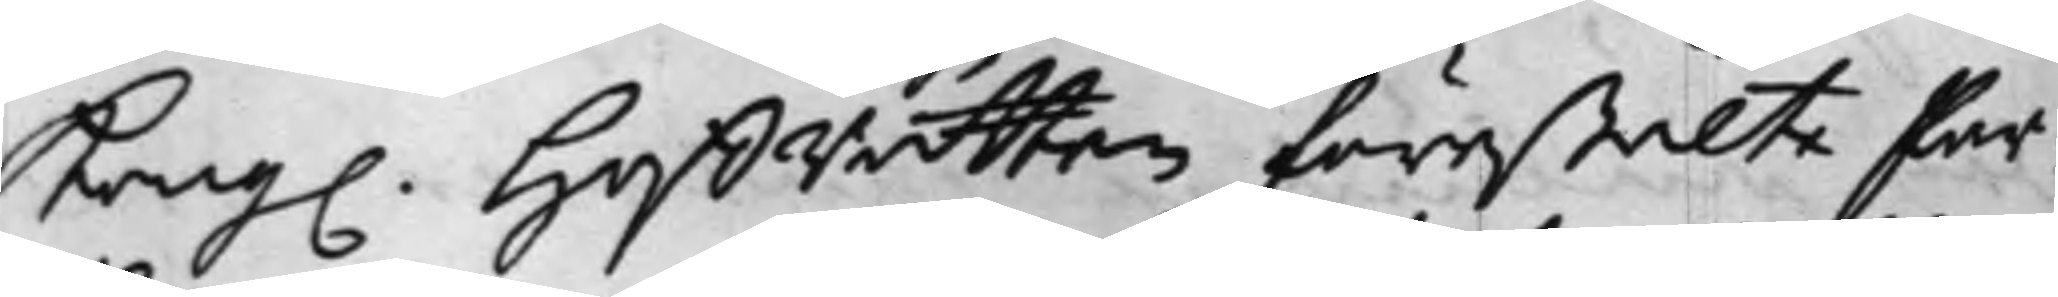Kong. HoffRätten förestälte Par¬
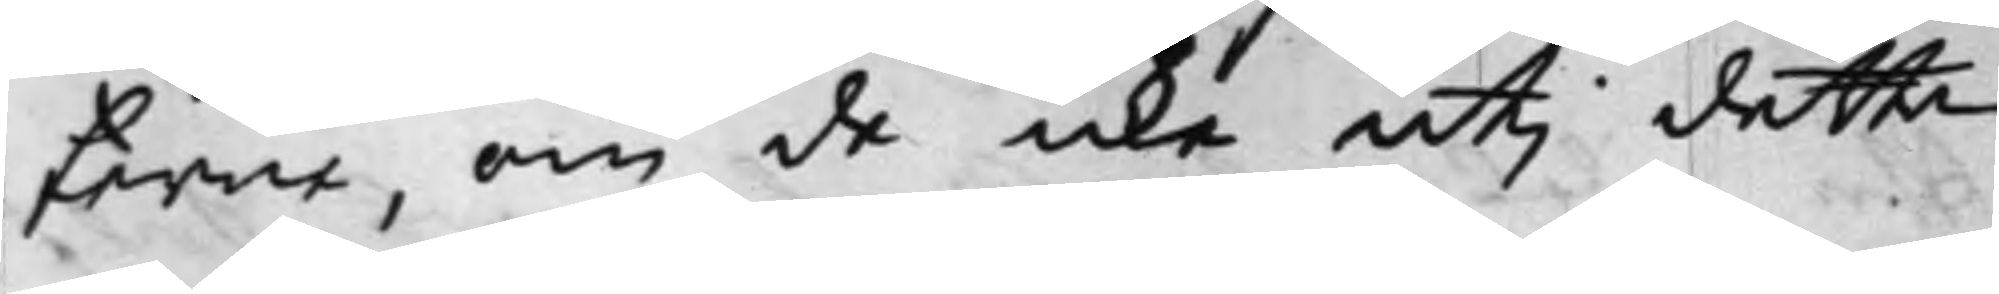terne, om de icke uti detta
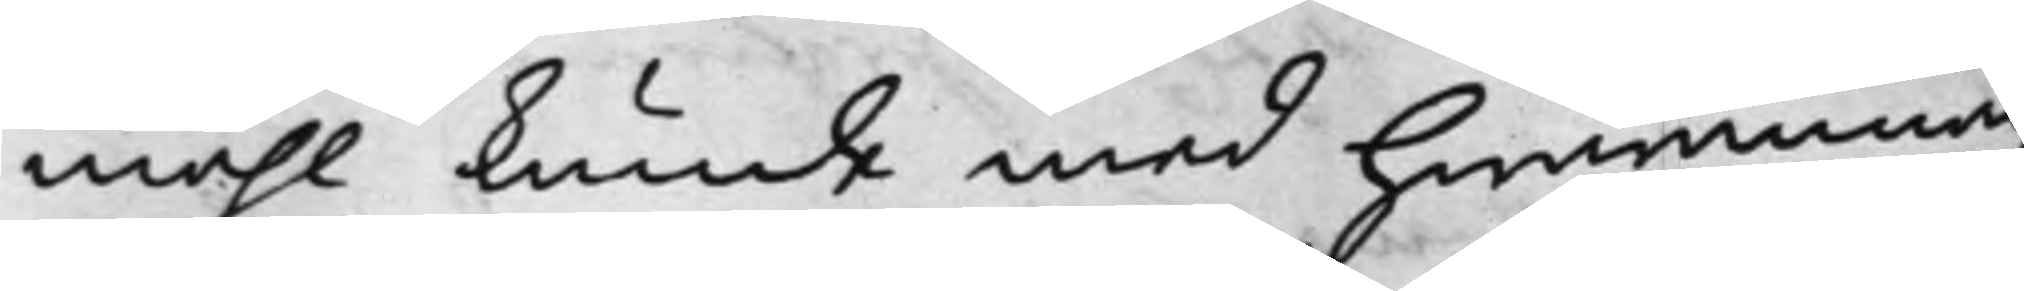måhl kunde med hwarannan
